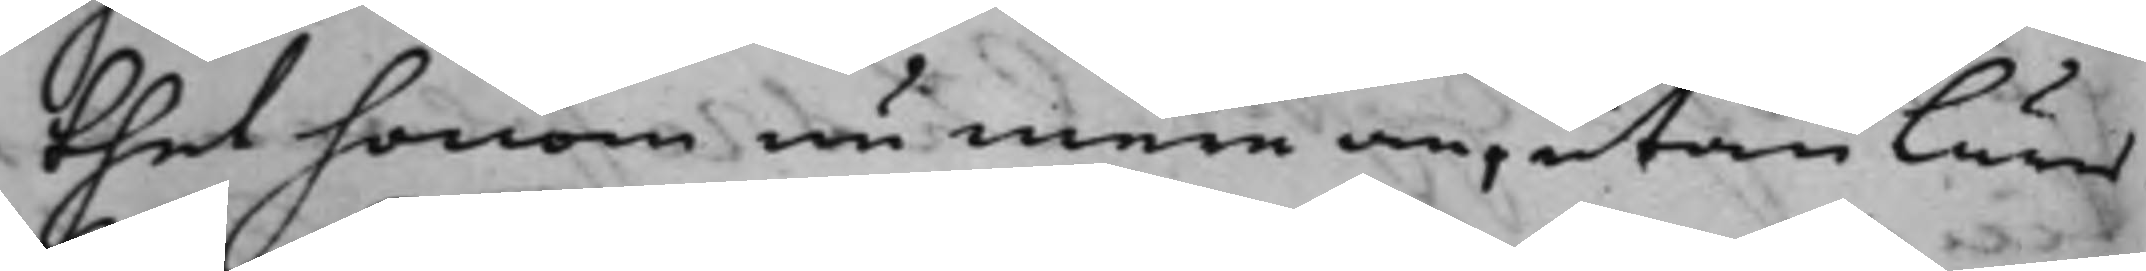thet honom nu mera an, utan läres
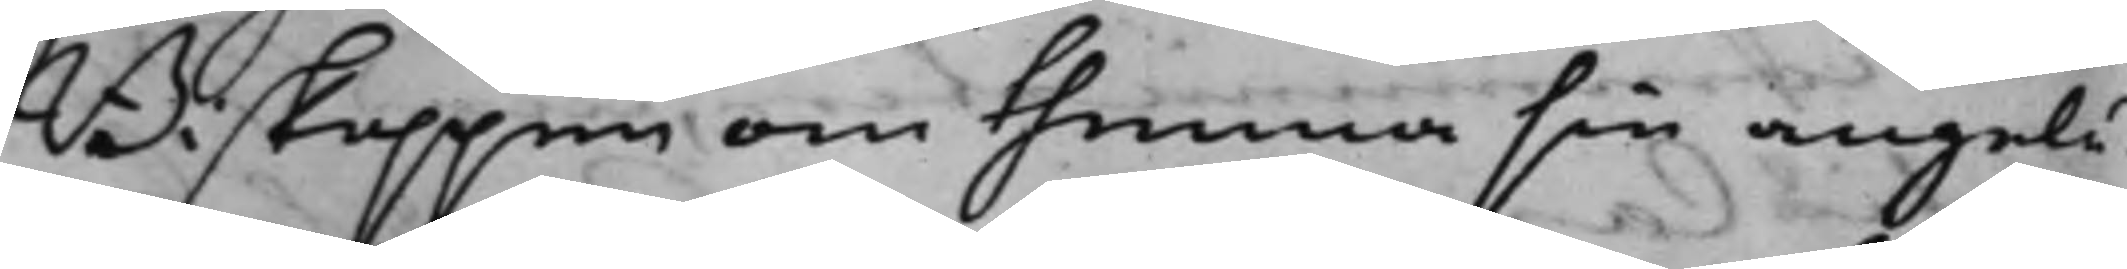Biskoppen om thenna sin angelä¬
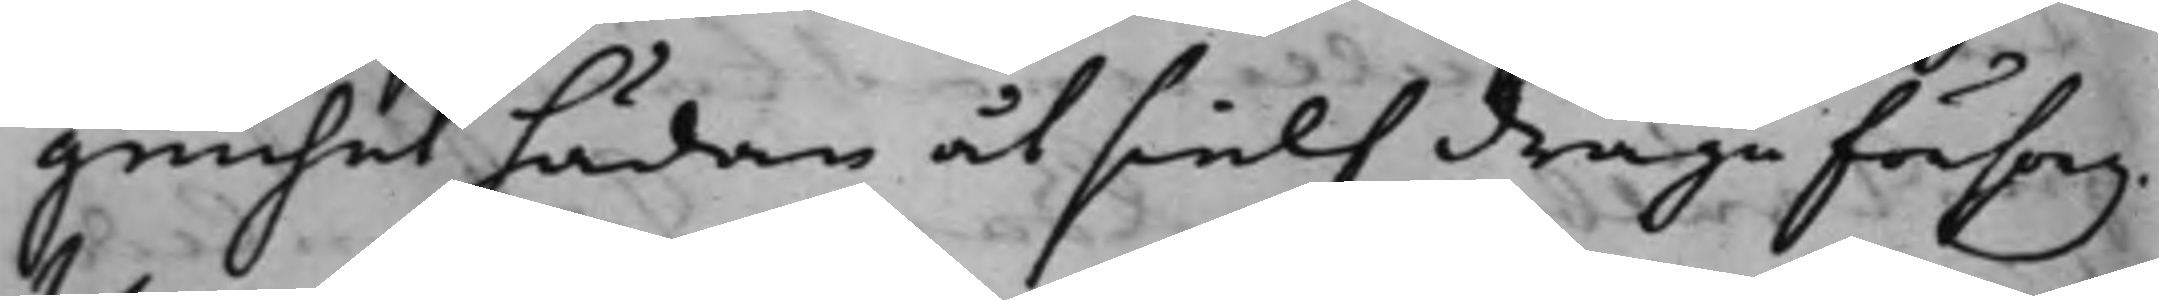genhet hädan åt sielf draga försorg.
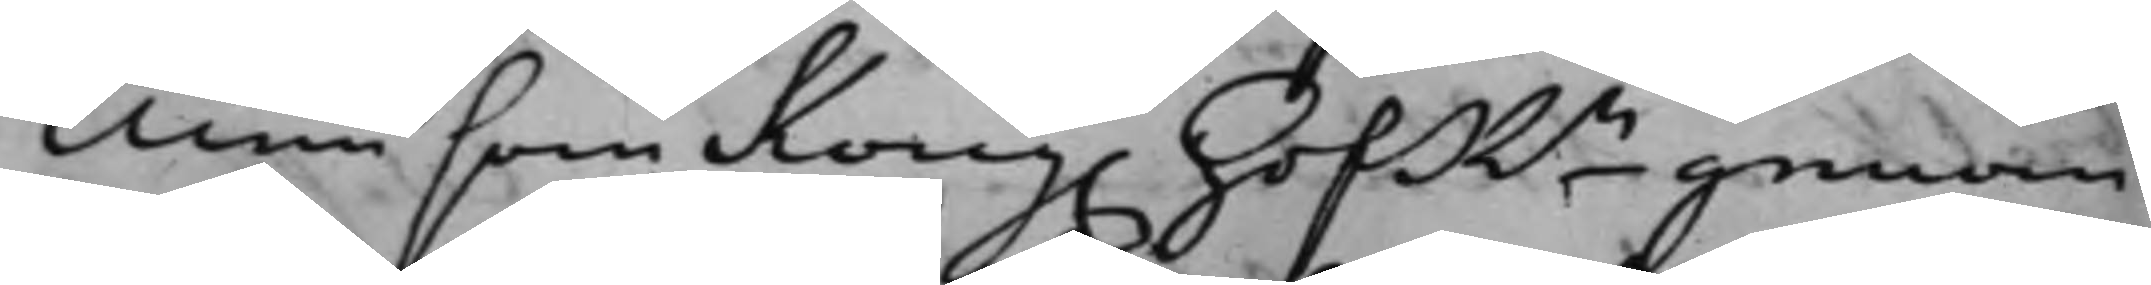Men som Kong. HofRn genom
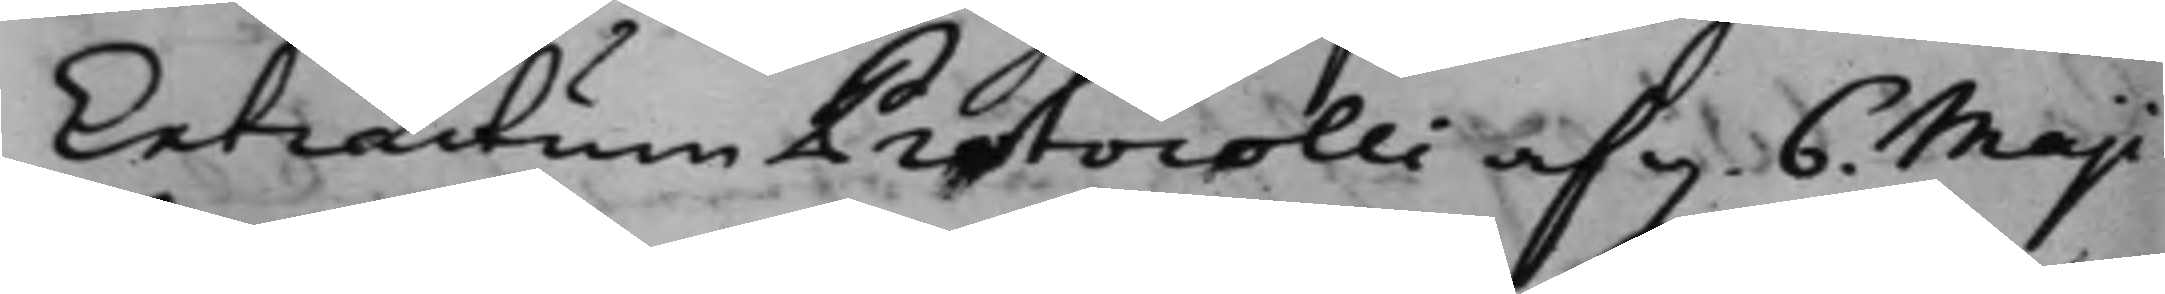Extractum Protocolli af d. 6. Maji
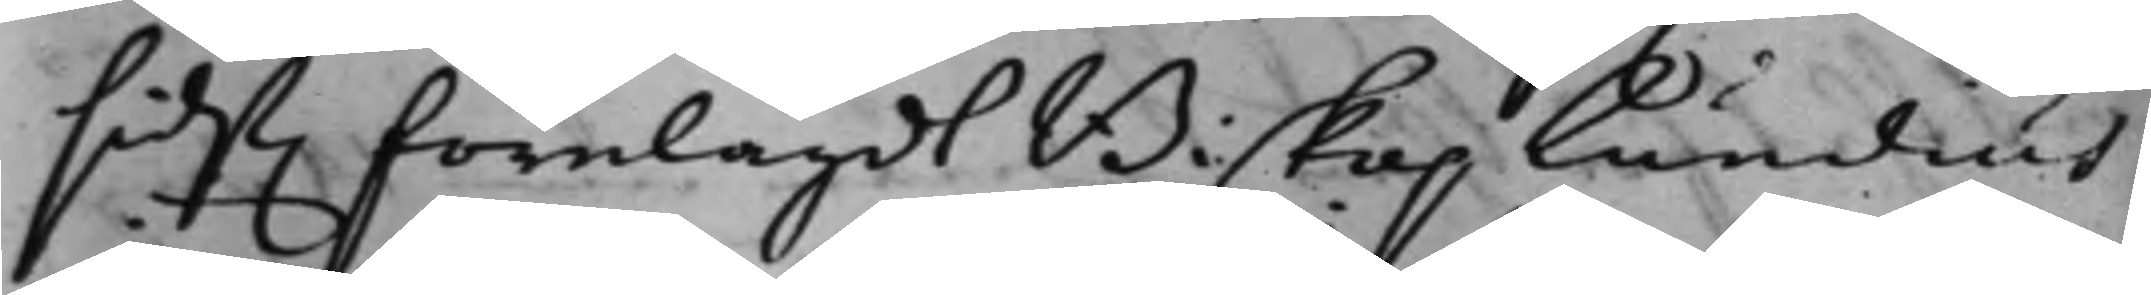sidst. förelagdt Biskop Lundius
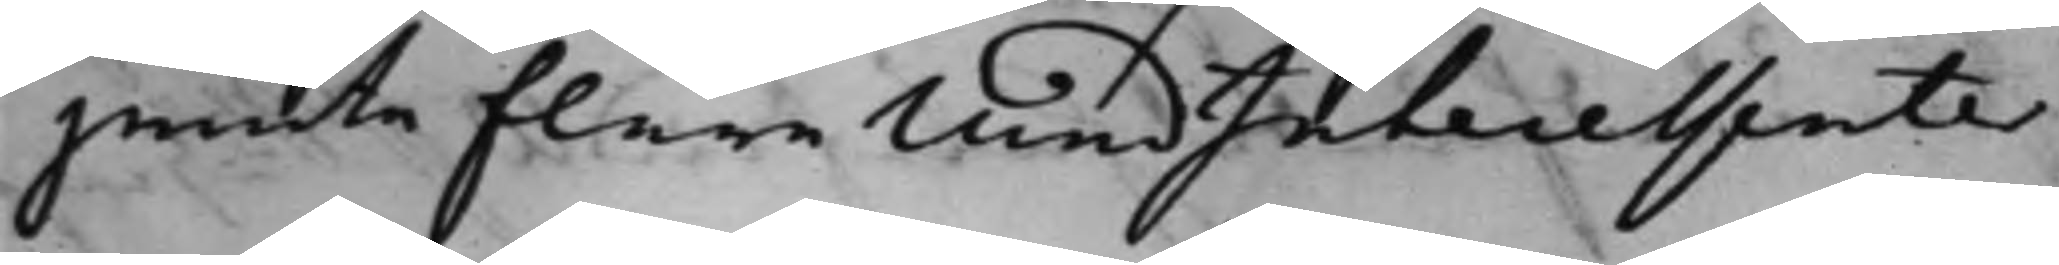jemte flere MedIntecessenter
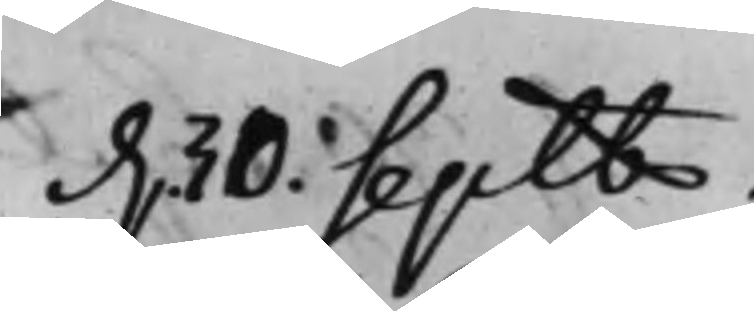d. 30. Septb.
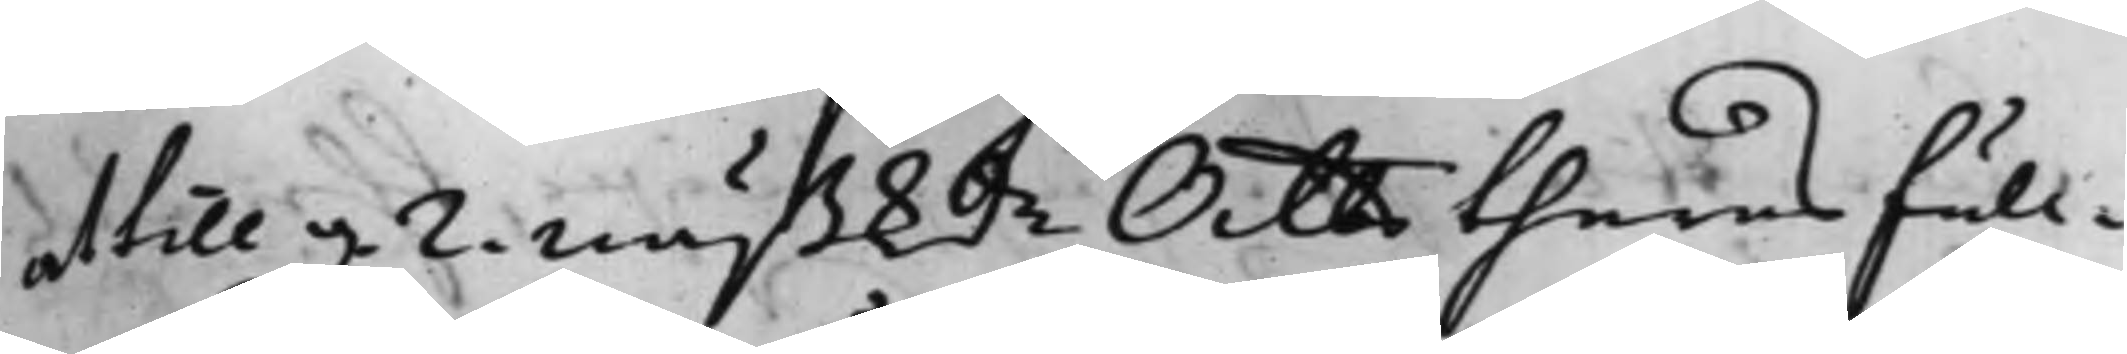at till d. 2. nästkde Octbr theras full¬
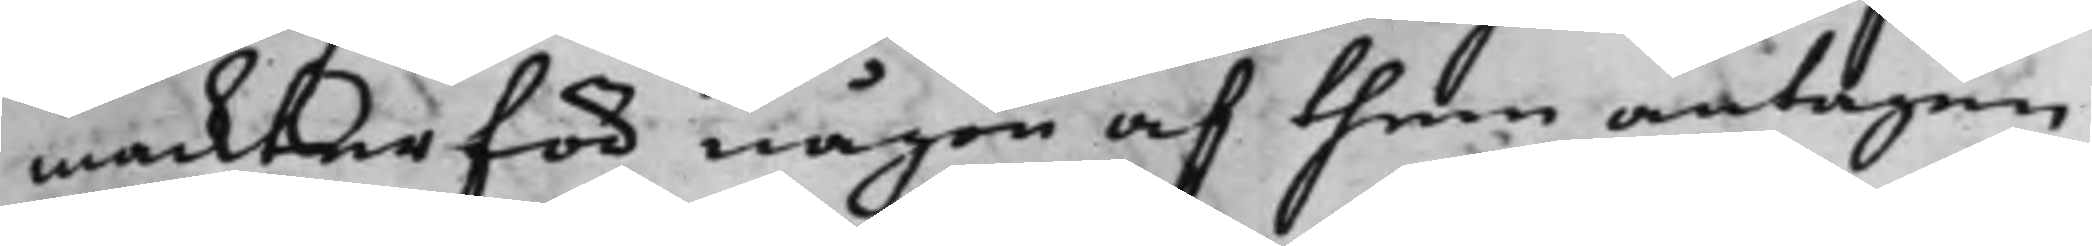mackter för någon af them antagen
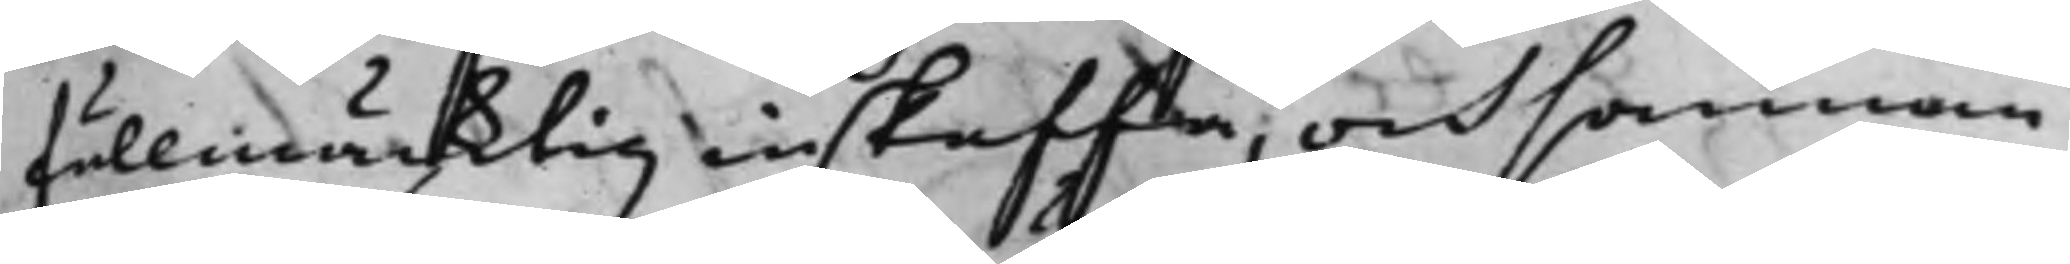fullmäcktig inskaffa, och sannan
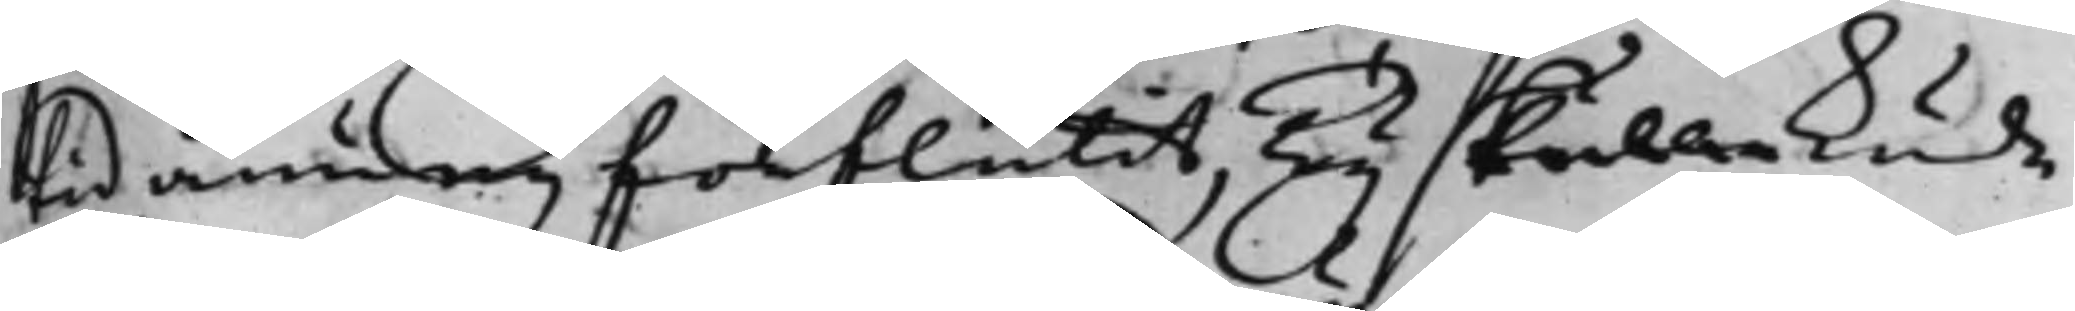tid ännu eij förflutit, Ty skulle kunde
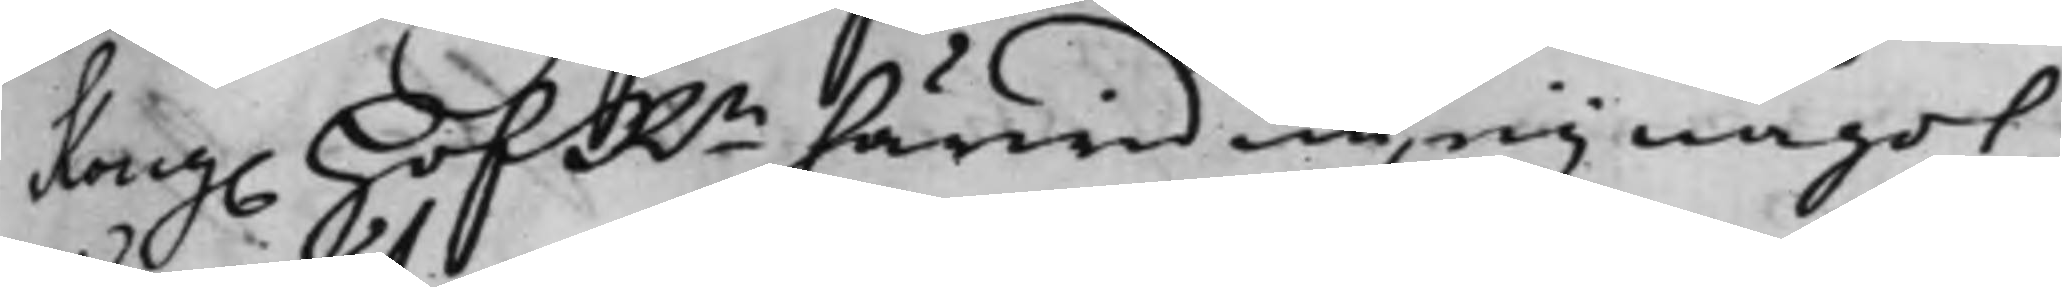Kong. HofRn härwid nu eij något
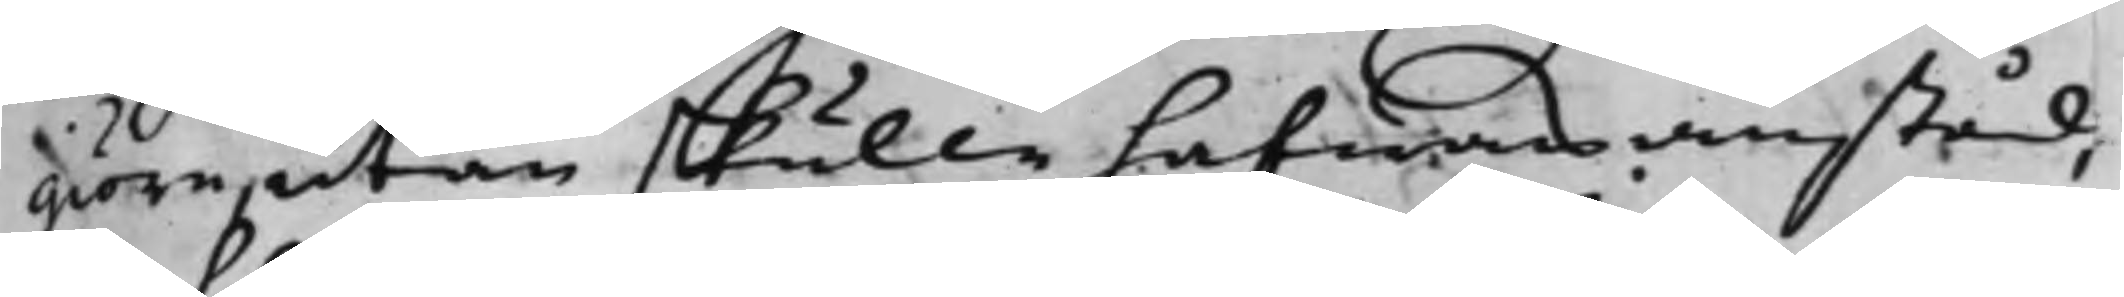giöra, utan skulle hafwas anstånd,
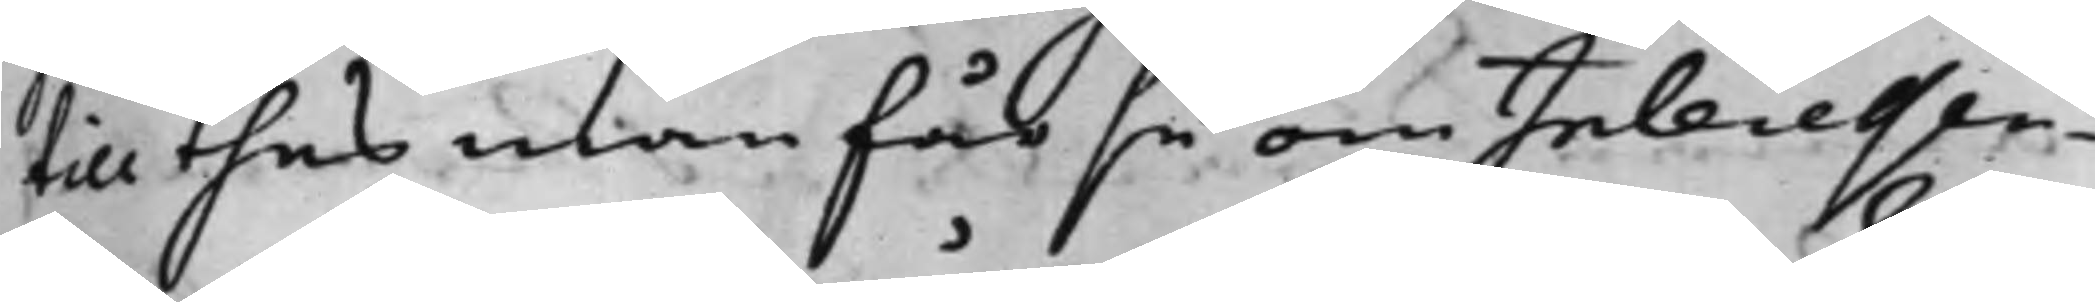till thes man får se om Inlecessen¬
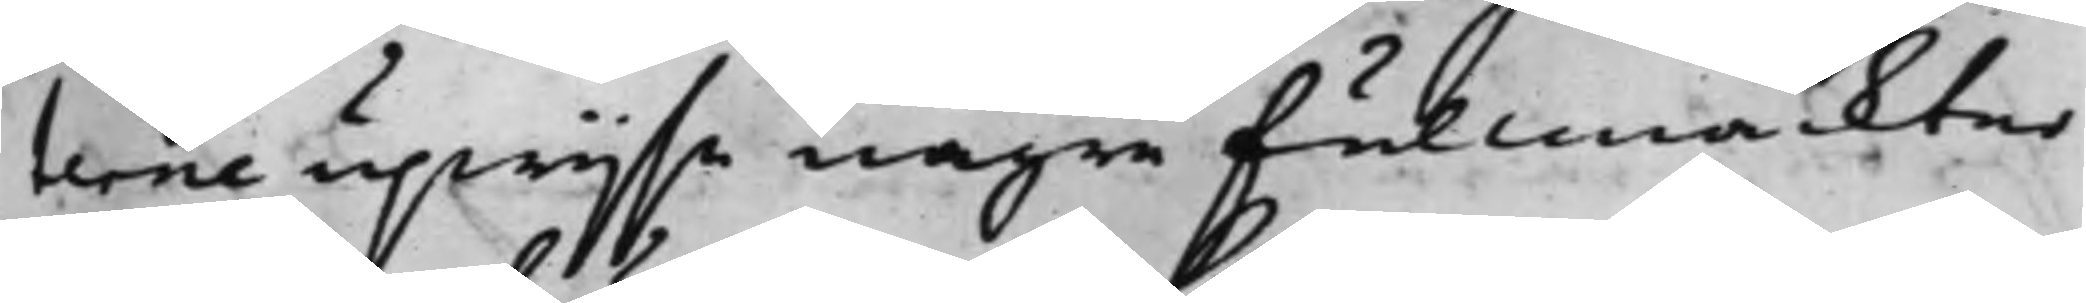terne upwijsa någre fullmackter
